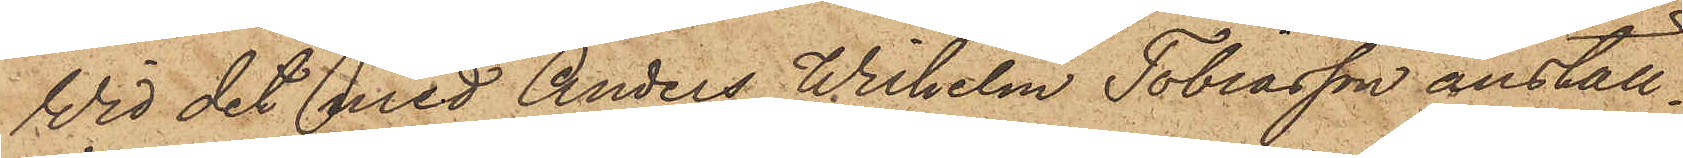Vid det med Anders Wilhelm Tobiasson anställ¬
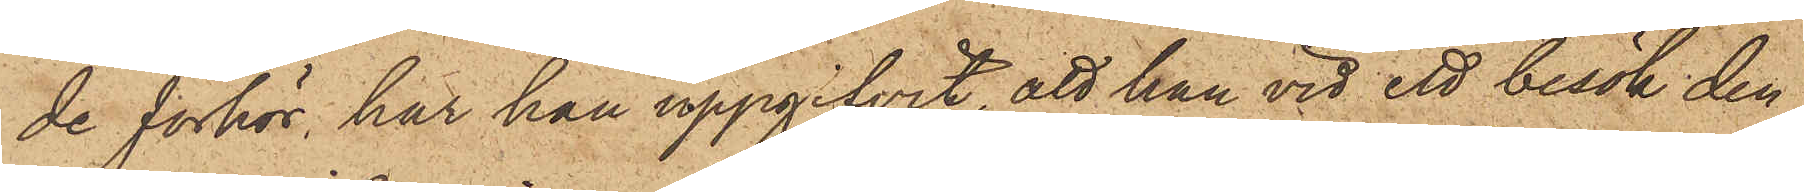de förhör, har han uppgifvit, att han vid ett besök den
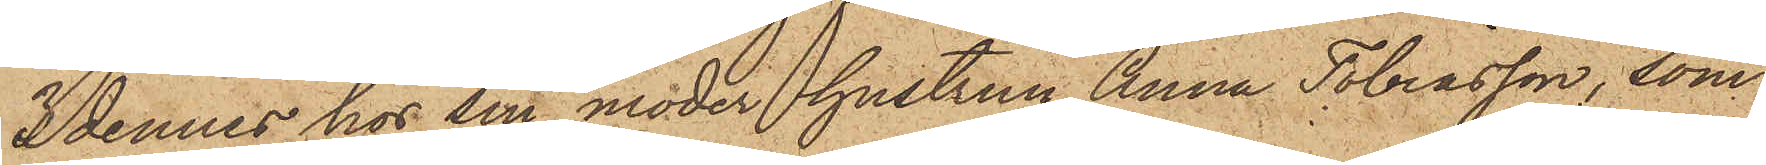3 dennes hos sin moder hustrun Anna Tobiasson, som
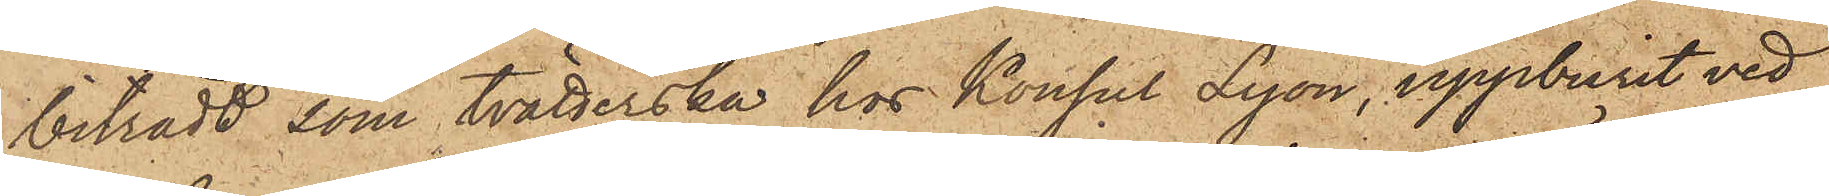biträdt som tvätterska hos Konsul Lyon, uppburit ved
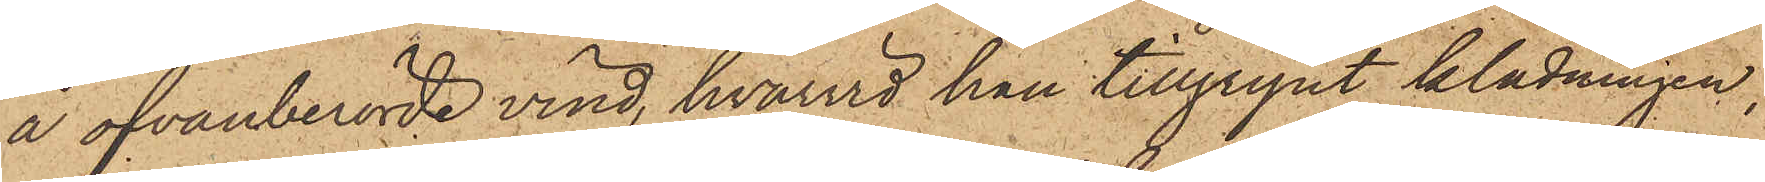å ofvanberörde vind, hvarvid han tillgripit klädningen,
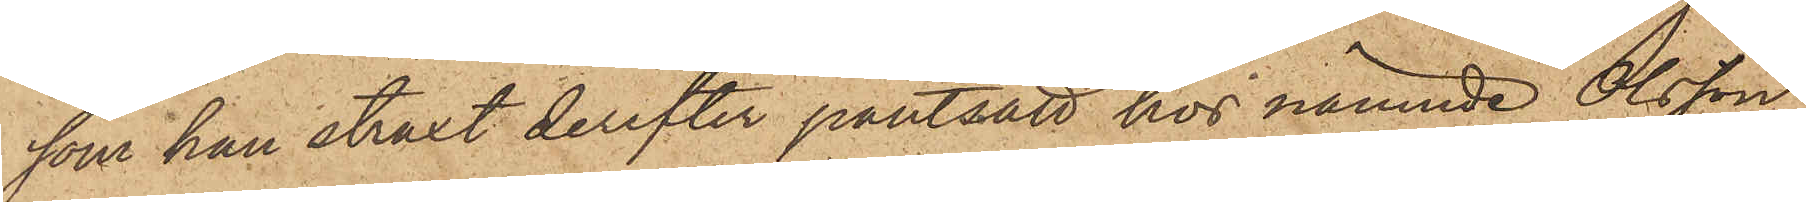som han straxt derefter pantsatt hos nämnde Olsson
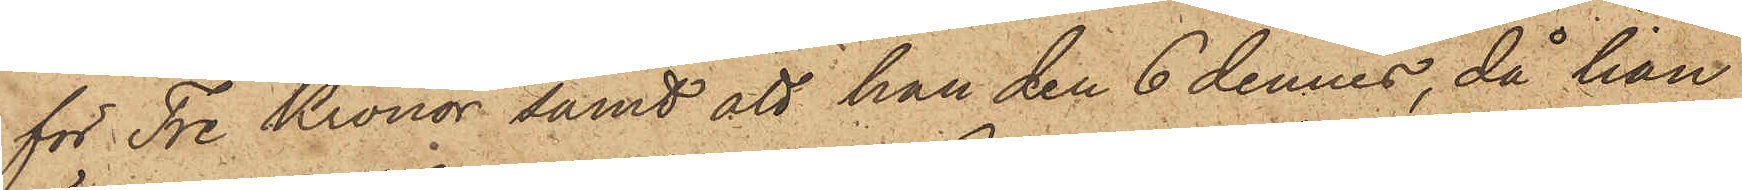för Tre Kronor samt att han den 6 dennes, då han
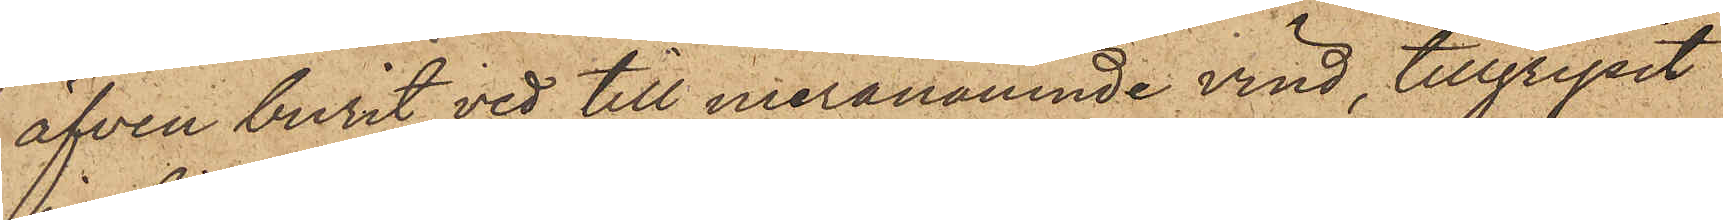äfven burit ved till meranämnde vind, tillgripit
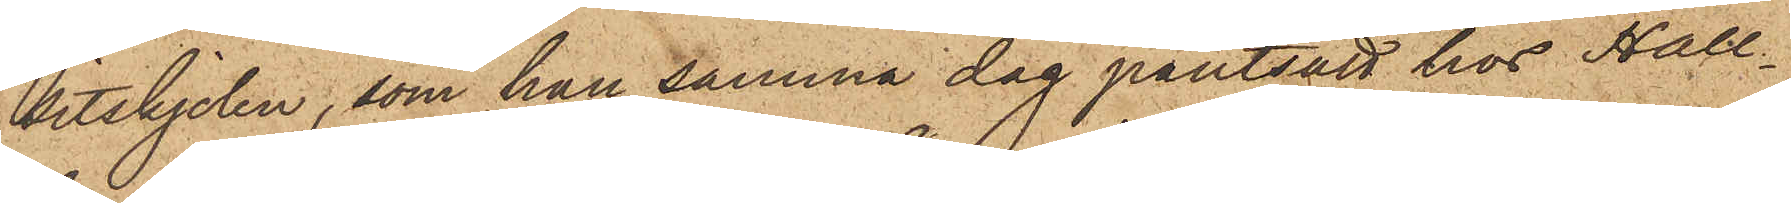sitskjolen, som han samma dag pantsatt hos Hall¬
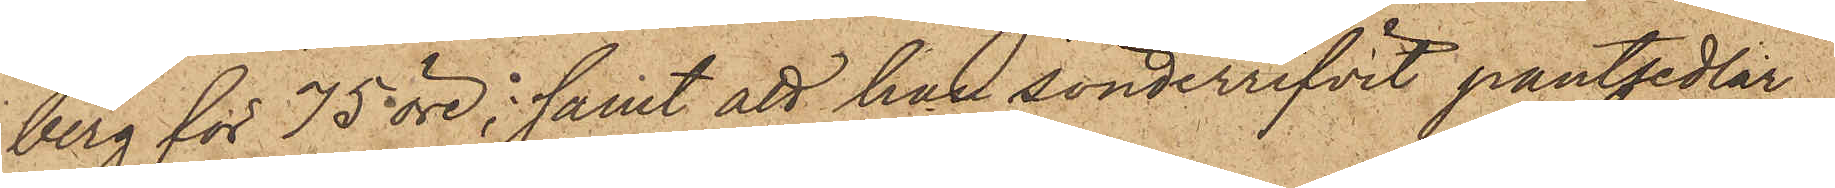berg för 75 öre; samt att han sönderrifvit pantsedlar¬
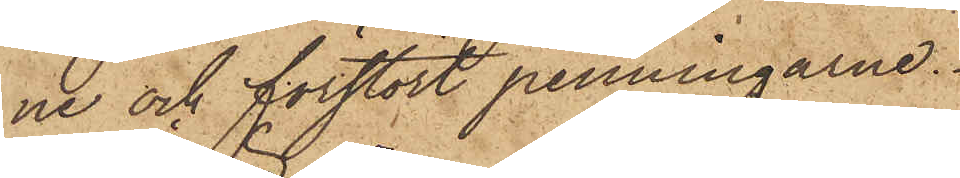ne och förstört penningarne.
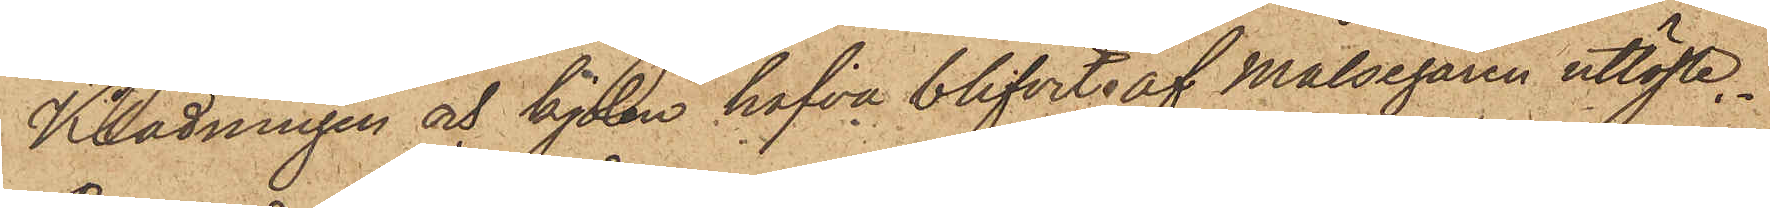Klädningen och kjolen hafva blifvit af Målsegaren utlöste.
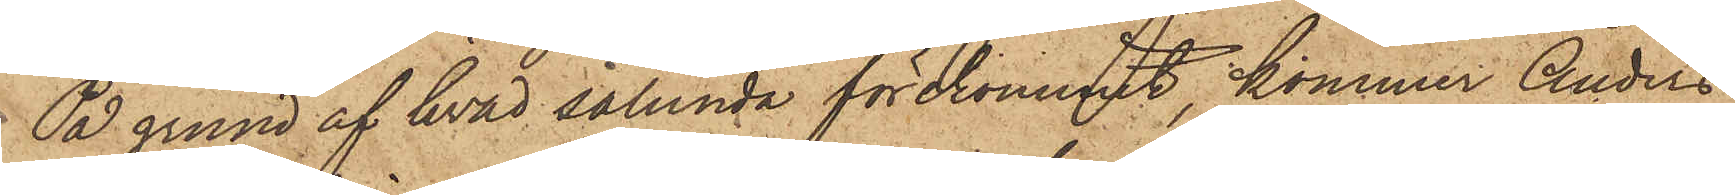På grund af hvad sålunda förekommit, kommer Anders
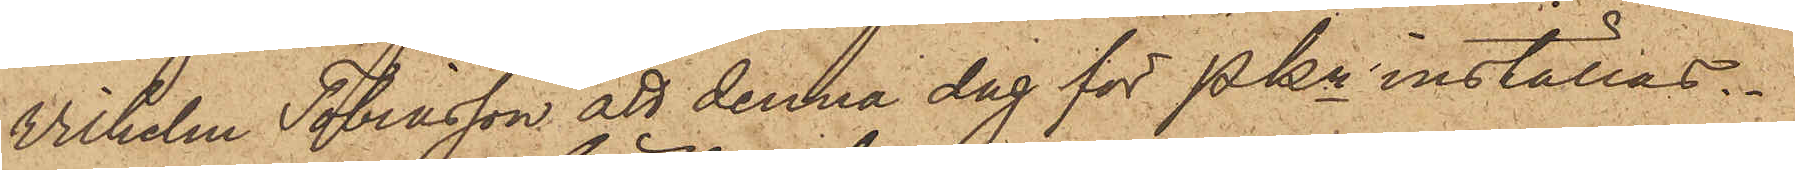Vilhelm Tobiasson att denna dag för Pkn inställas.
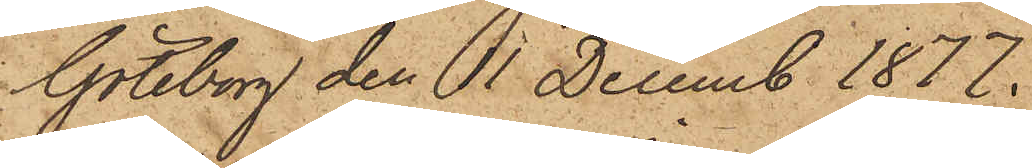Göteborg den 11 Decemb 1877.
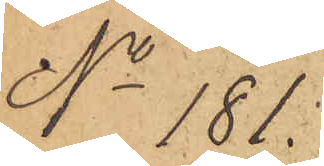No 181.
